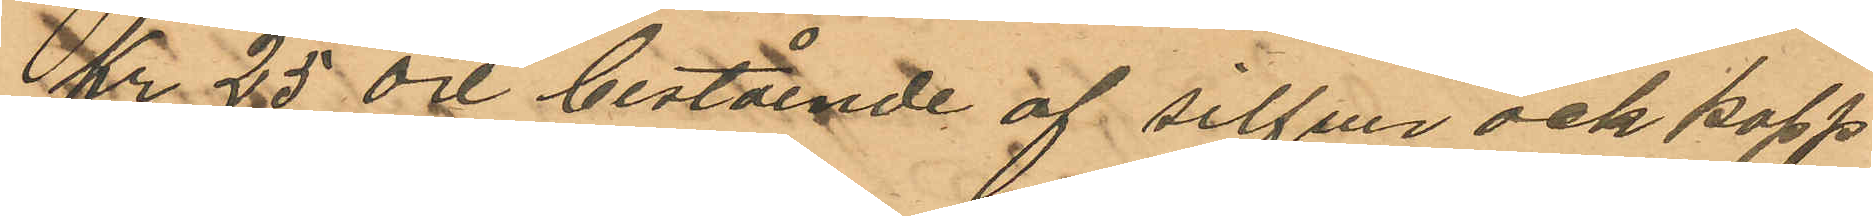Kr 25 öre bestående af silfver och kopp¬
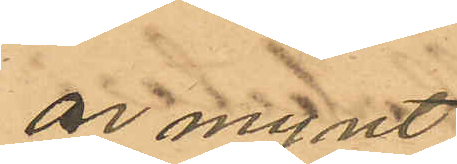ar mynt;
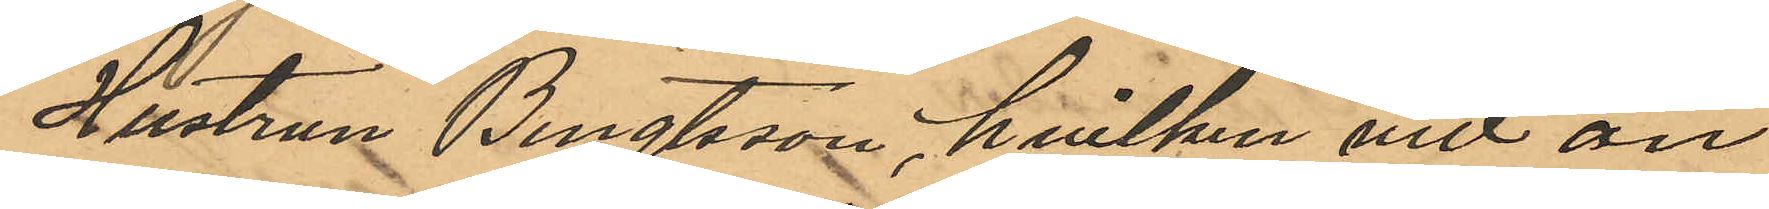Hustrun Bengtsson, hvilken vid an¬
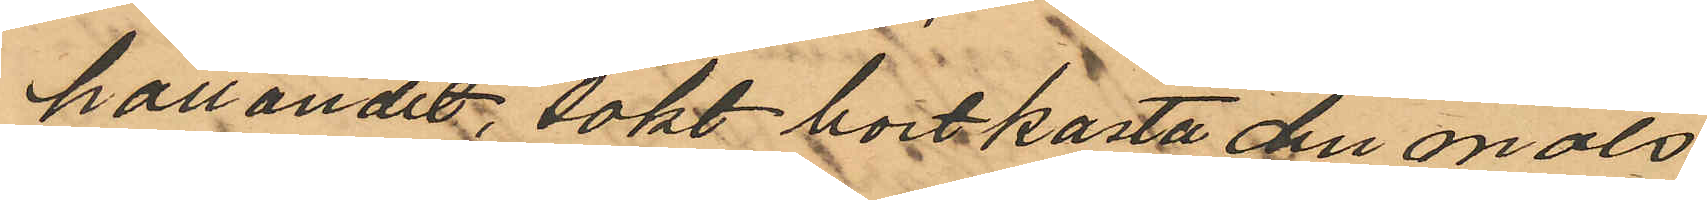hållandet sökt bortkasta den måls¬
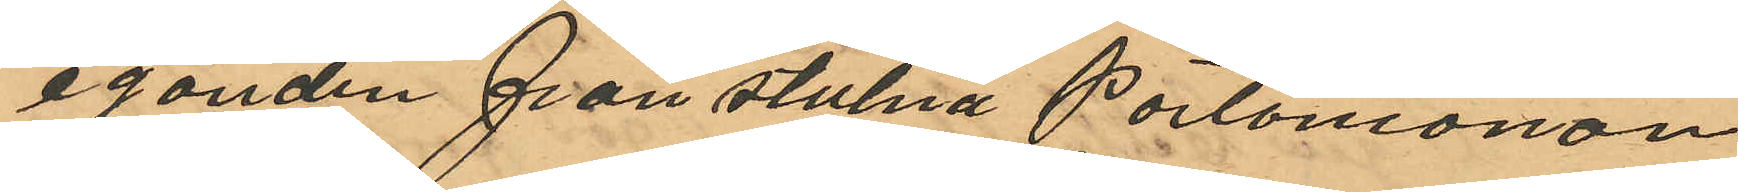eganden frånstulna portomonän
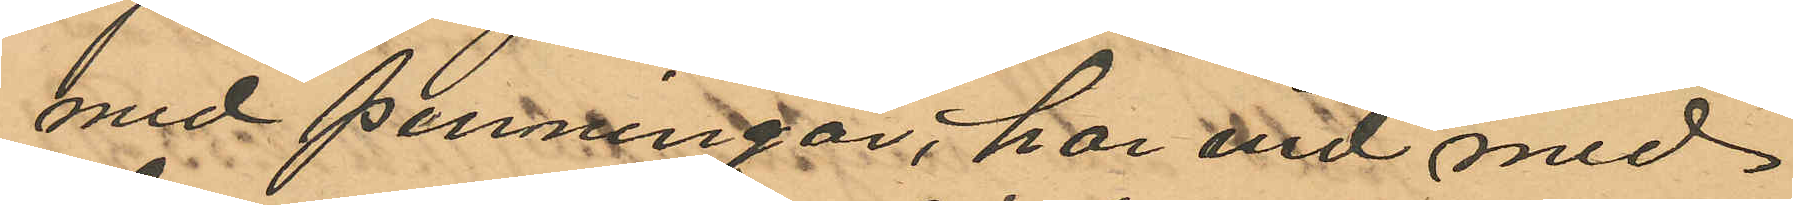med penningar, har vid med
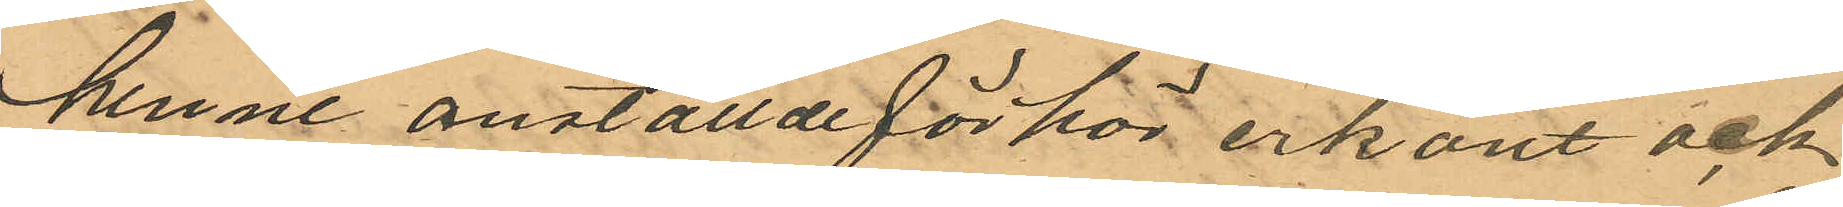henne anställde förhör erkant och
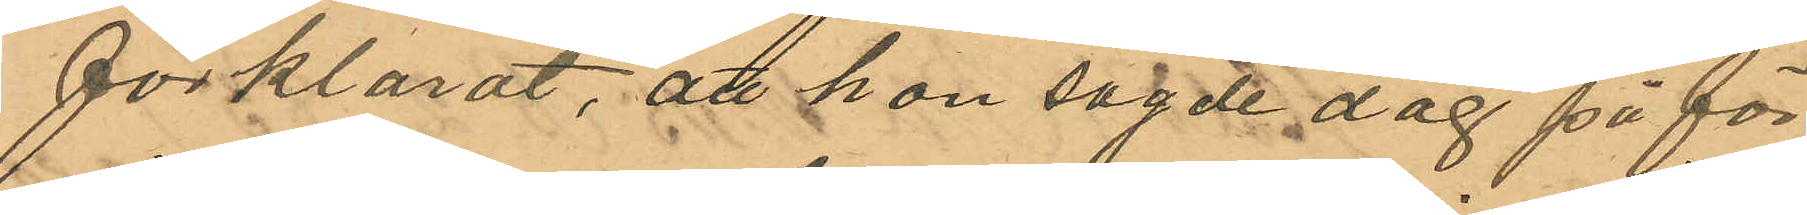förklarat, att hon sagde dag på för¬
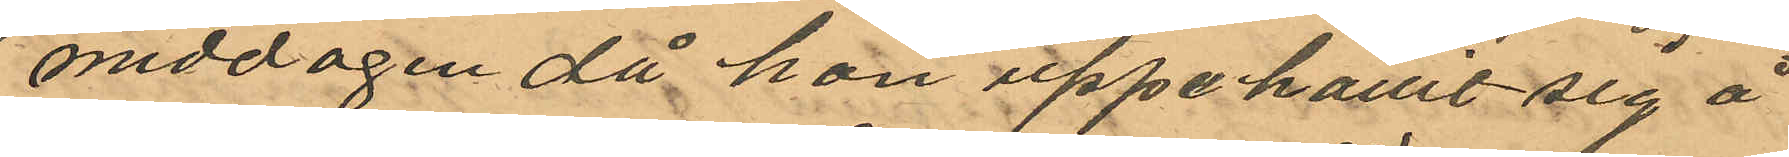middagen då hon uppehållit sig å
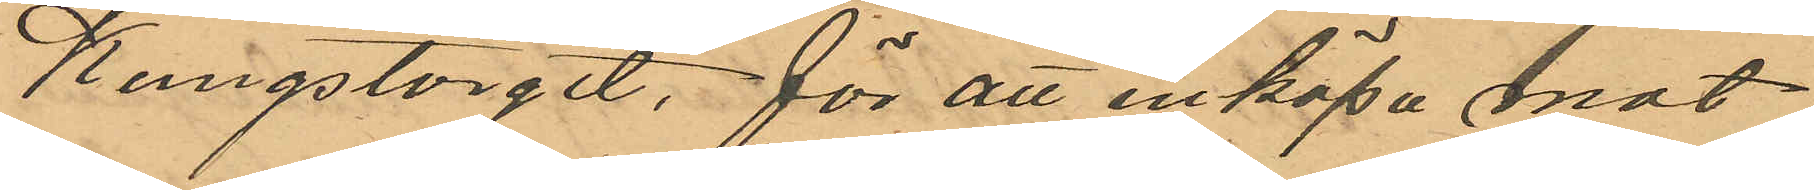Kungstorget, för att inköpa mat¬
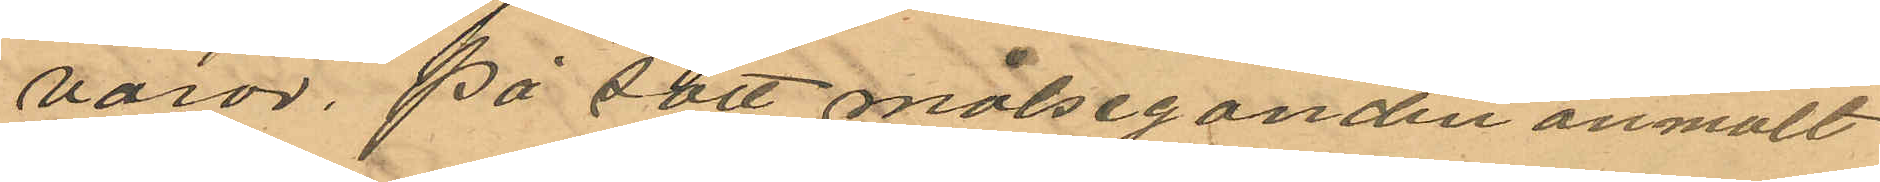varor, på sätt målseganden anmält
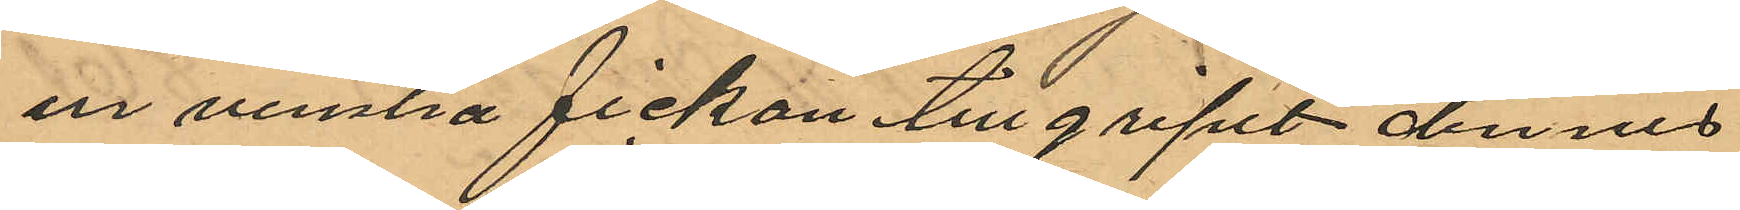ur venstra fickan tillgripit dennes
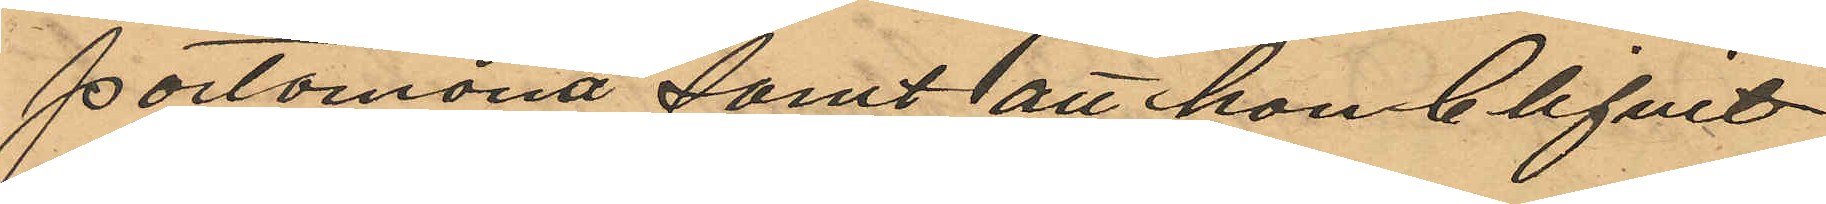portomona samt att hon blifvit
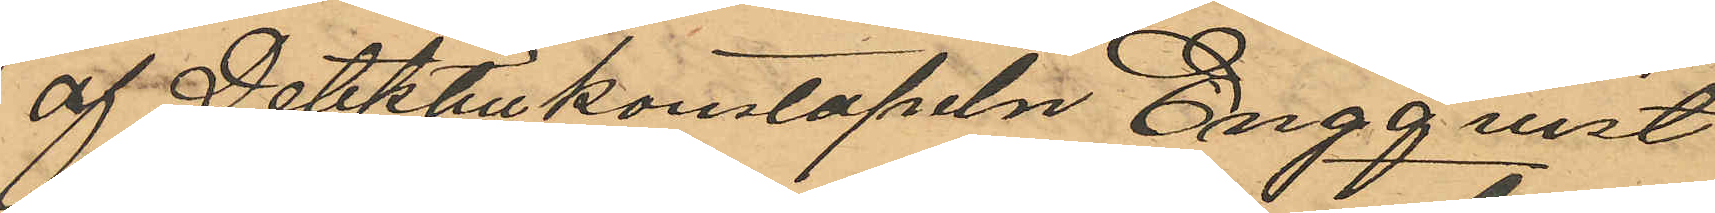af Detektivkonstapeln Engqvist
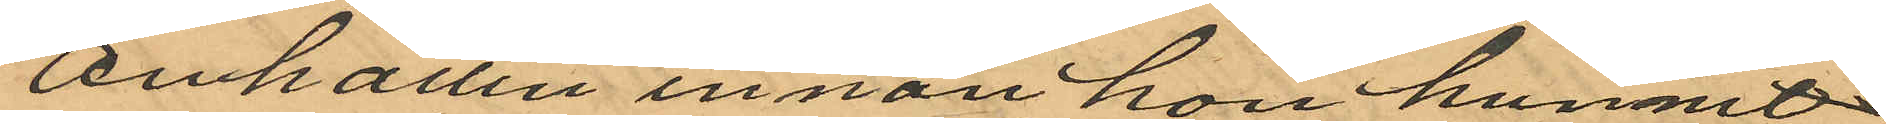anhållen innan hon hunnit
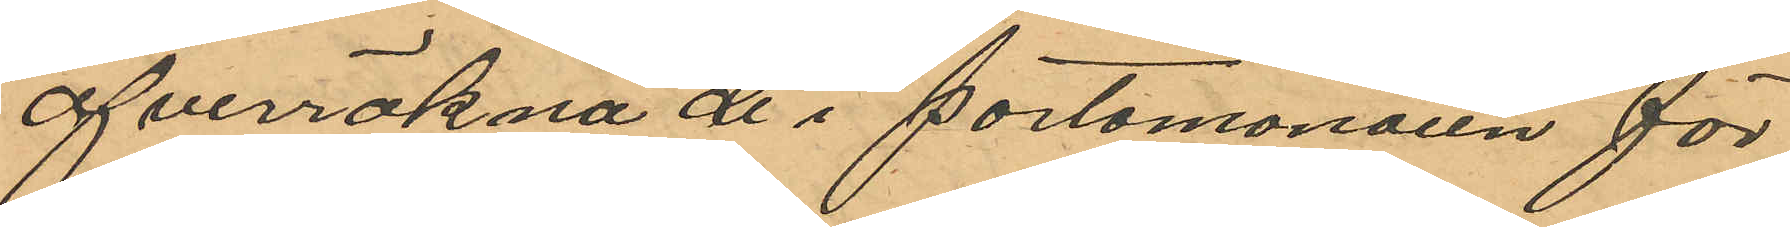öfverräkna de i portomonaien för¬
